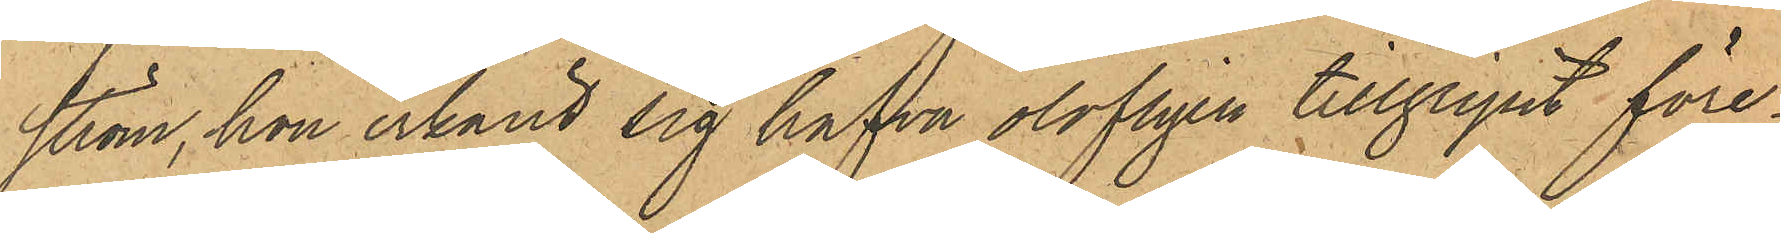ström, hon erkänt sig hafva olofligen tillgripit före¬
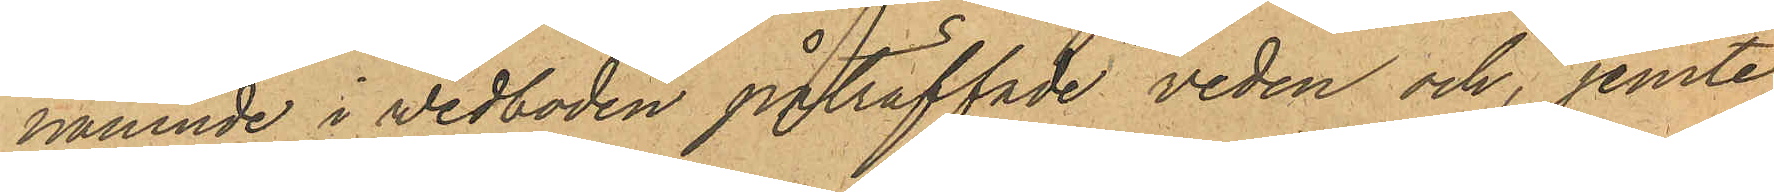nämnde i vedboden påträffade veden och, jemte
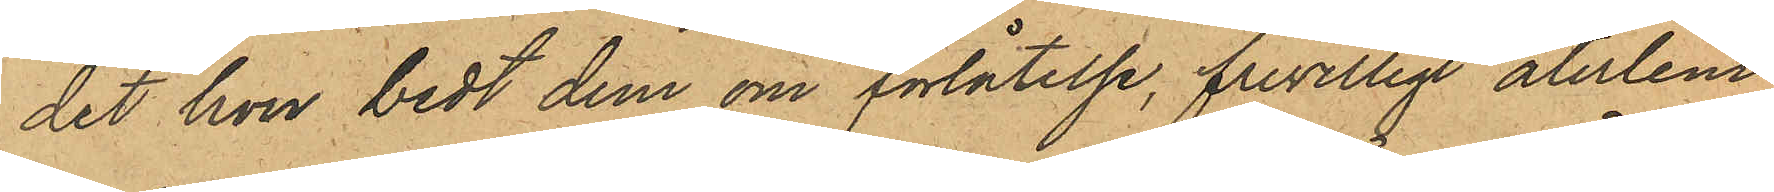det hon bedt dem om förlåtelse, frivilligt återlem¬
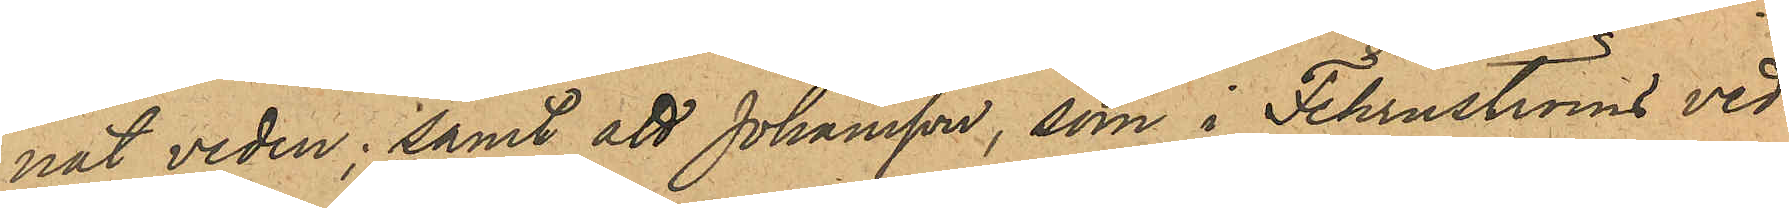nat veden; samt att Johansson, som i Fehrnströms ved¬
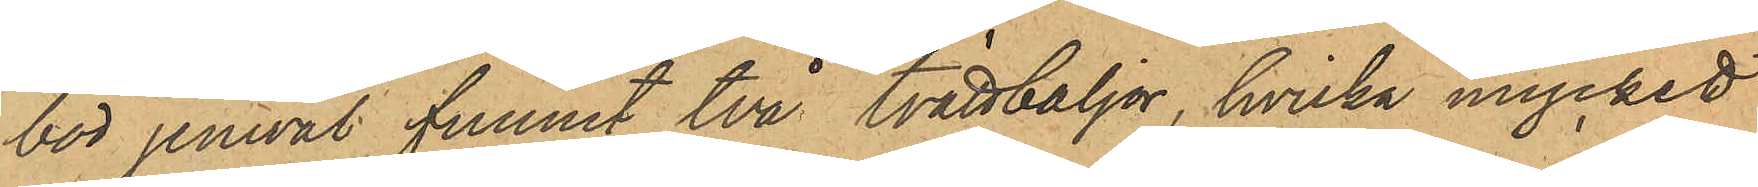bod jemväl funnit två tvättbaljor, hvilka mycket
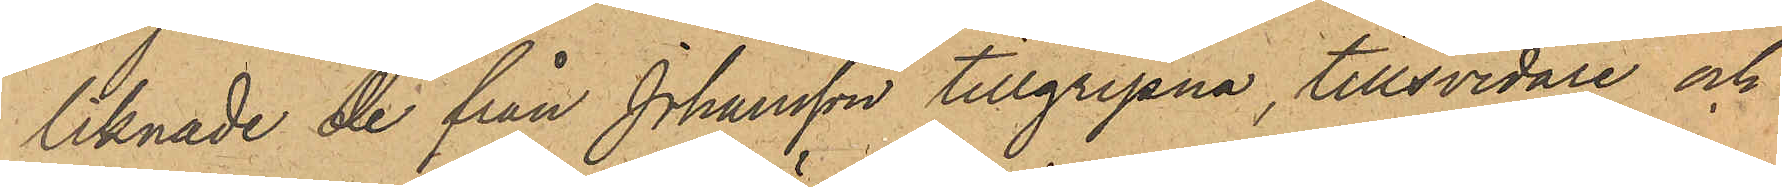liknade de från Johansson tillgripna, tillsvidare och
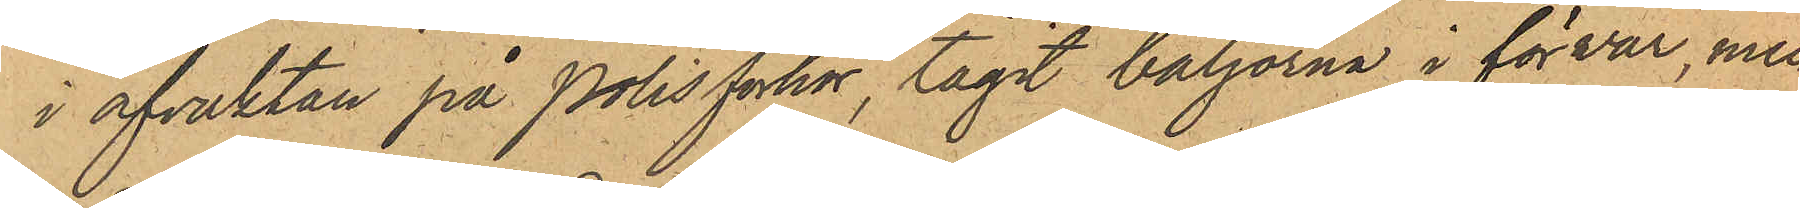i afvaktan på Polisförhör tagit baljorna i förvar, men
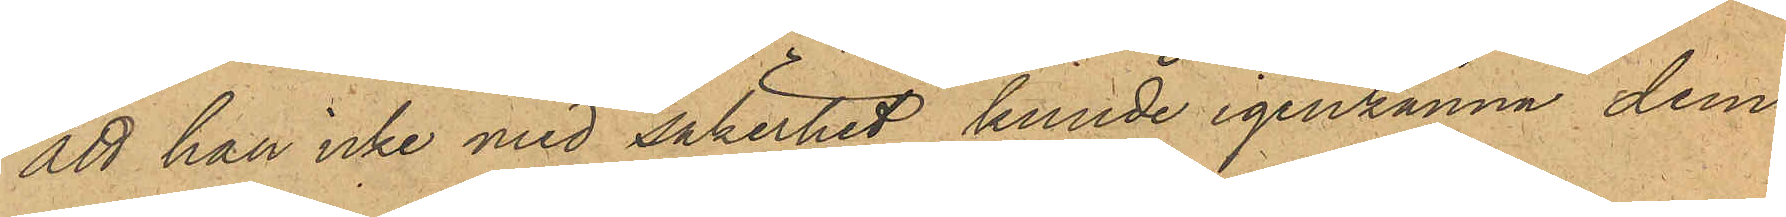att han icke med säkerhet kunde igenkänna dem
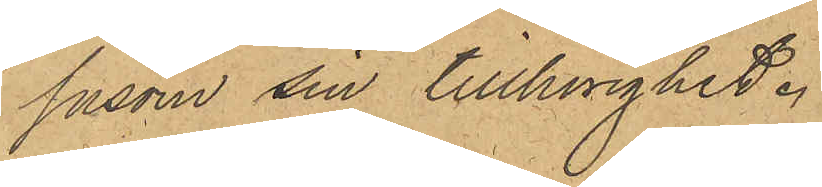såsom sin tillhörighet.
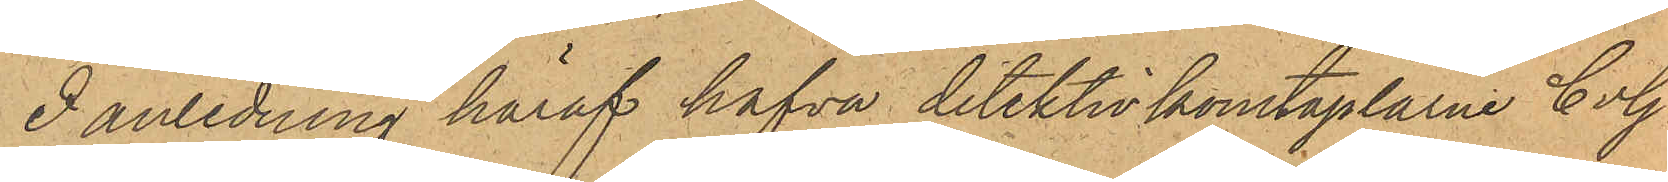I anledning häraf hafva detektivkonstaplarne C. G.
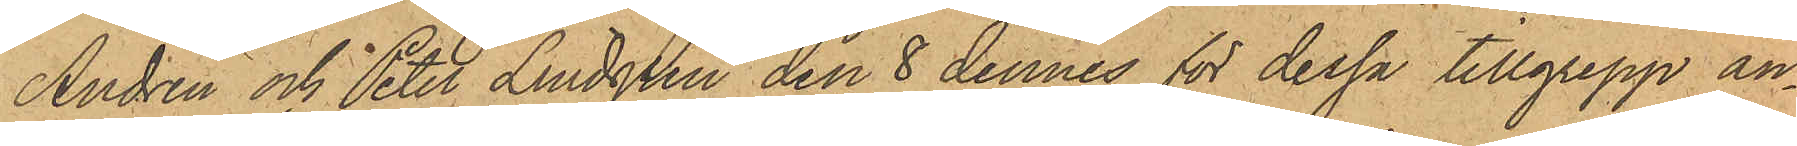Andrén och Peter Lindgren den 8 dennes för dessa tillgrepp an¬
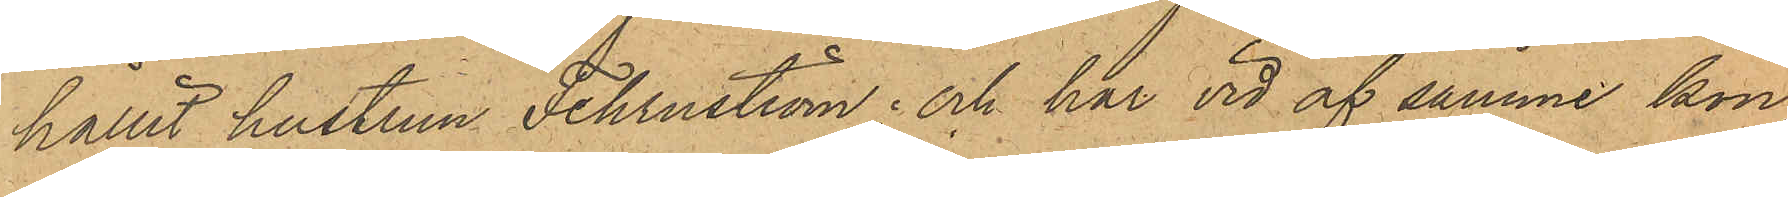hållit hustrun Fehrnström; och har vid af samme kon¬
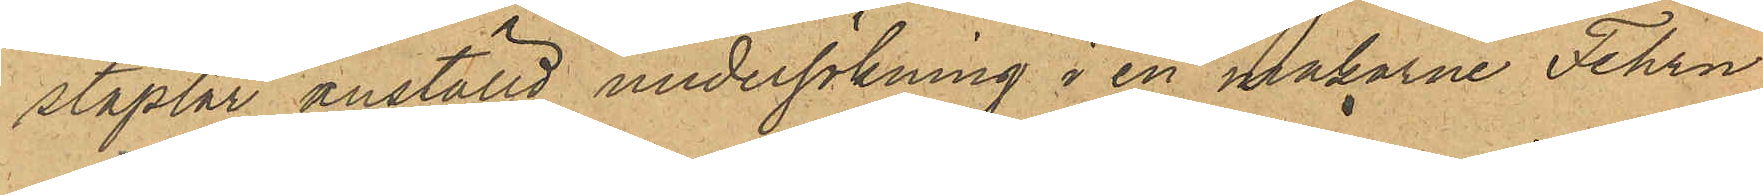staplar anställd undersökning i en makarne Fehrn¬
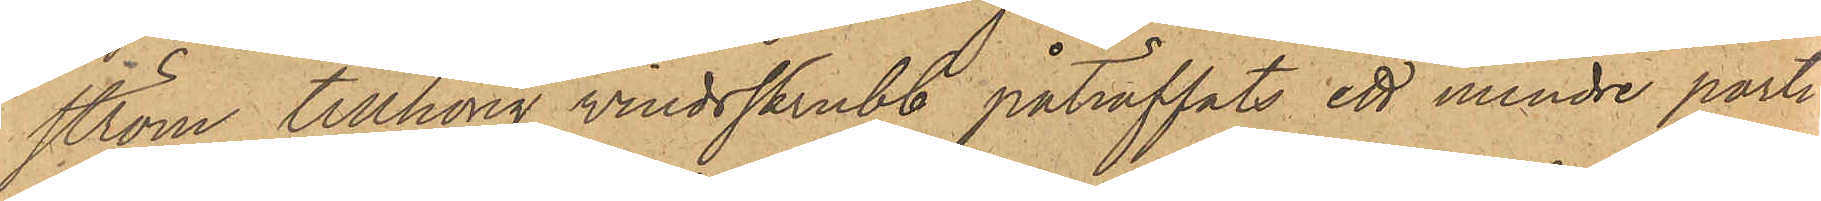ström tillhörig vindsskrubb påträffats ett mindre parti
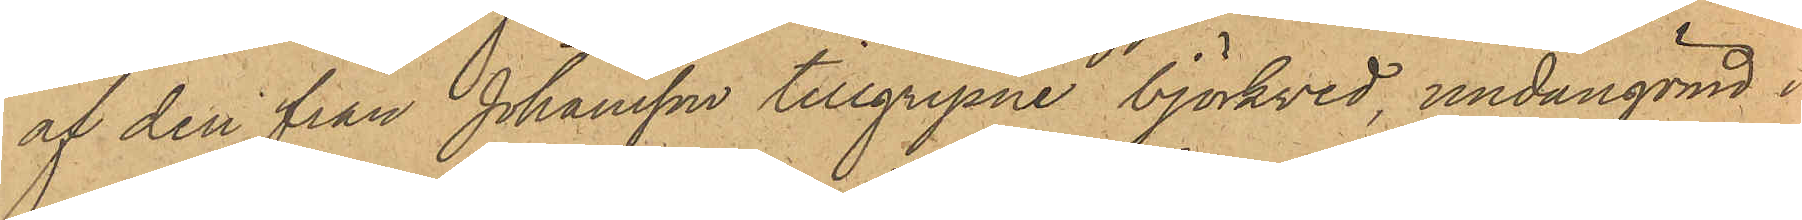af den från Johansson tillgripne björkved, undangömd i
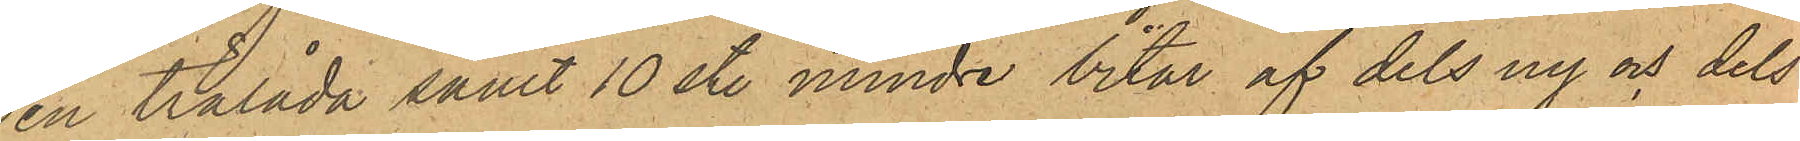en trälåda samt 10 st. mindre bitar af dels ny och dels
